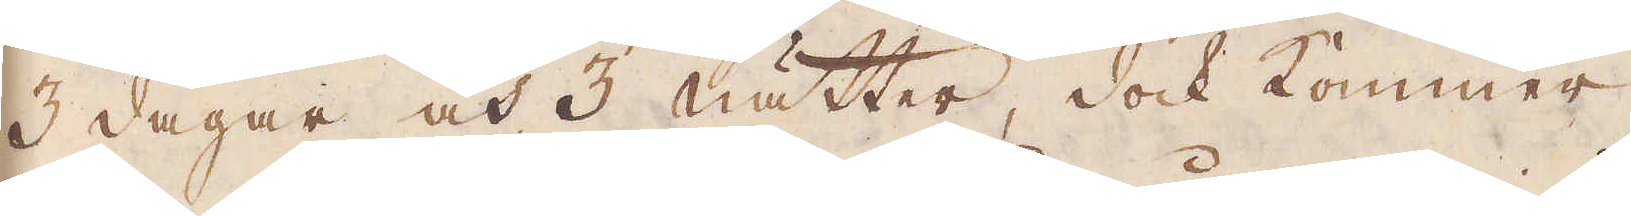3 dagar och 3 nätter, dock kommer
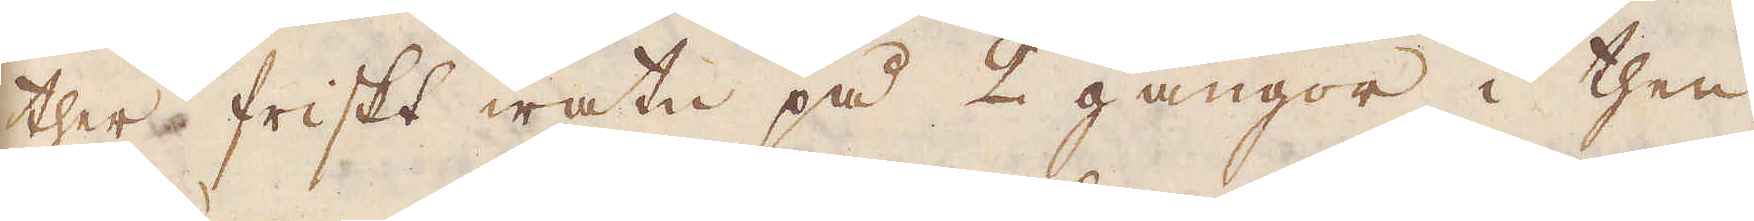ther friskt watn på 2 gångor i then
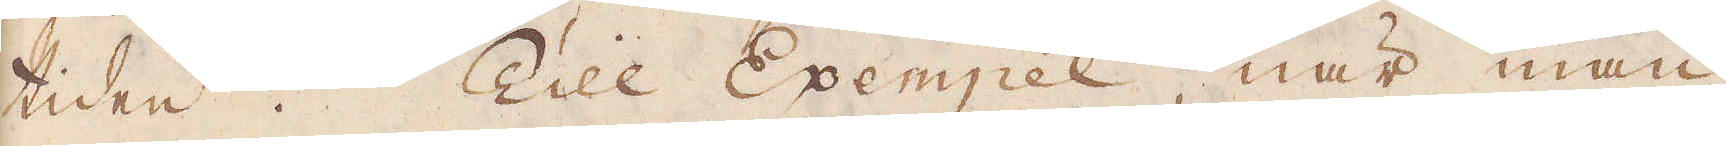tiden. Till Exempel, när man
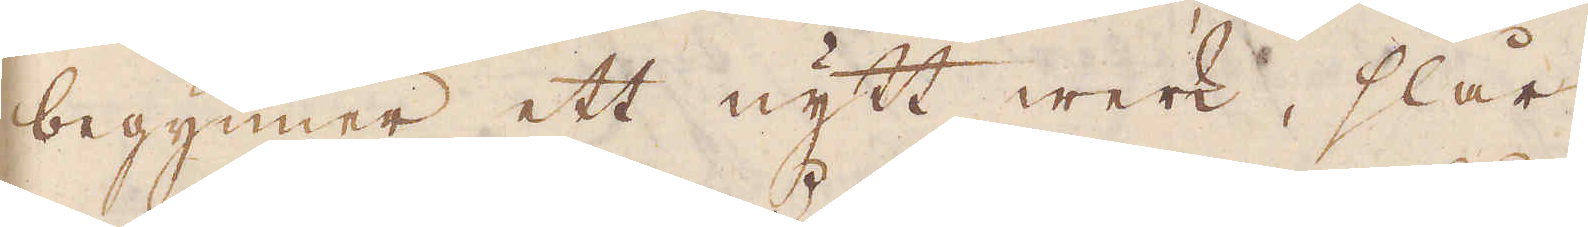begynner ett nytt werk, slår
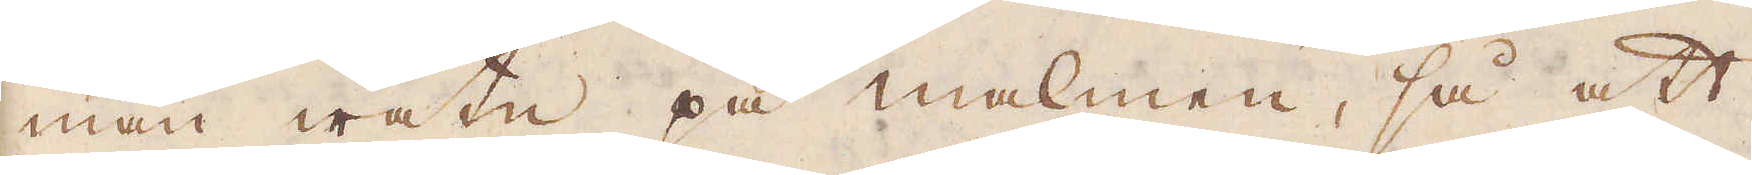man watn på malmen, så att
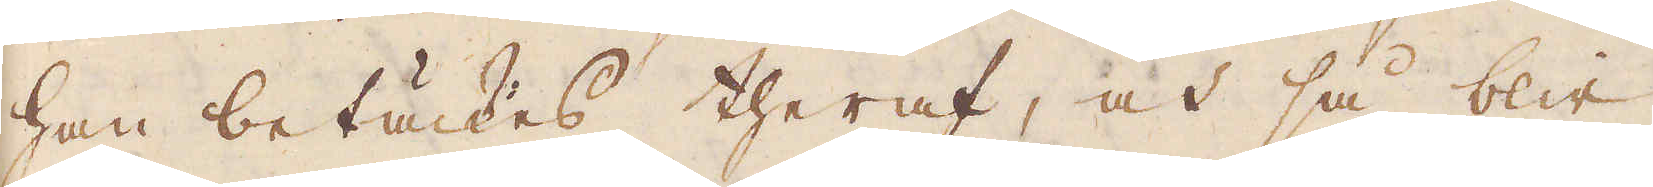han betäckes theraf, at så blir
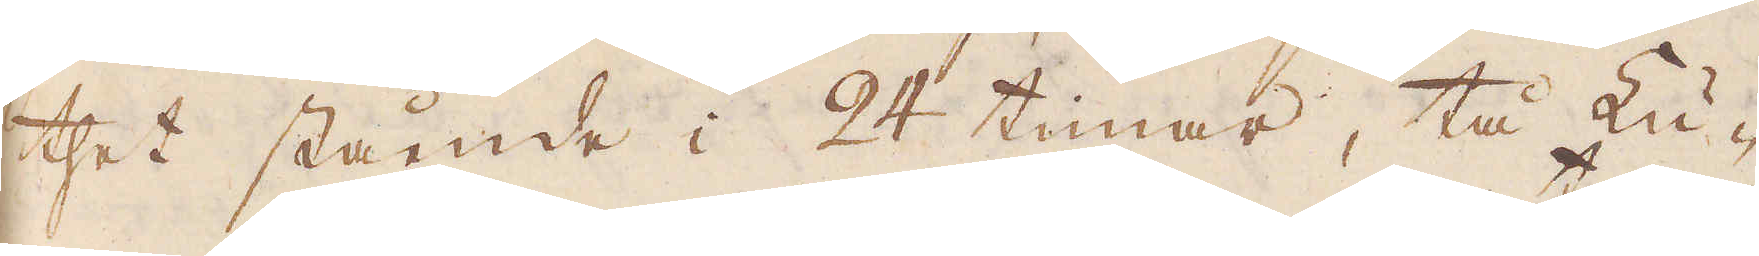thet stående i 24 timar, tå Lu-
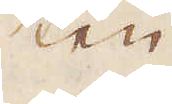ten
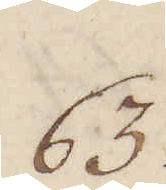63.
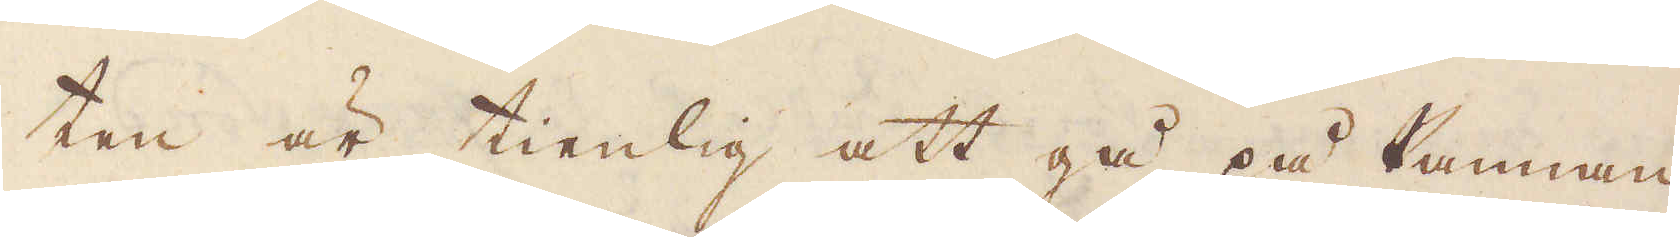ten är tienlig att gå på Pannan.
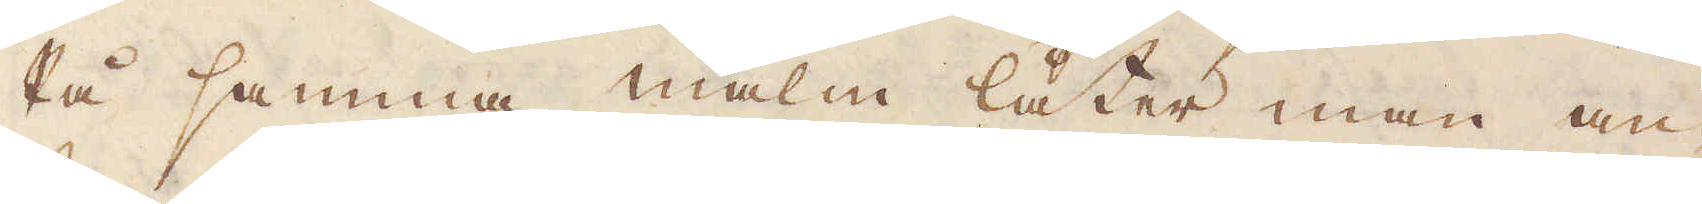På samma malm låter man an-
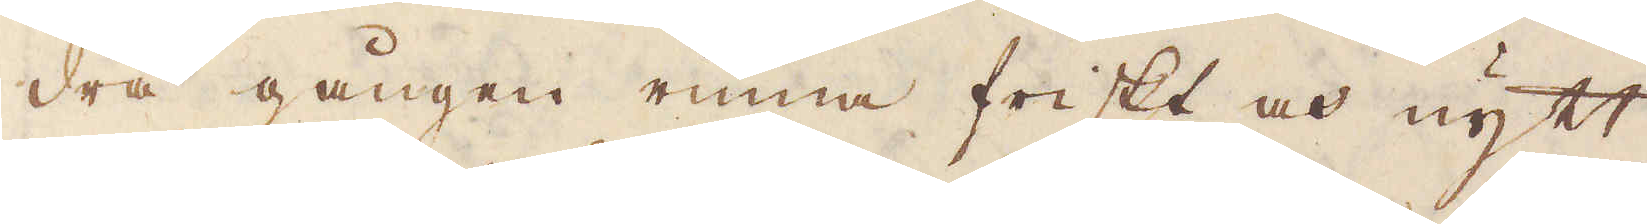dra gången rinna friskt och nytt
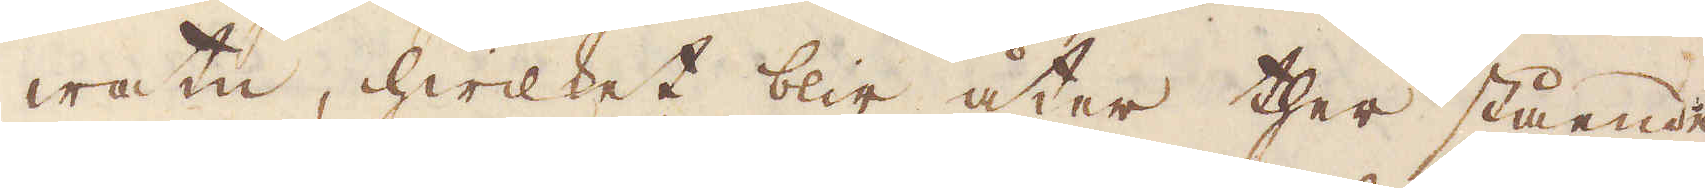watn, hwilket blir åter ther stående
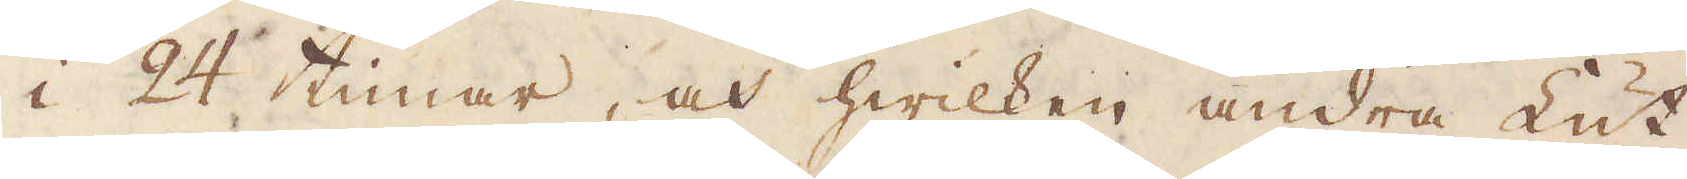i 24 timar, och hwilken andra Lut
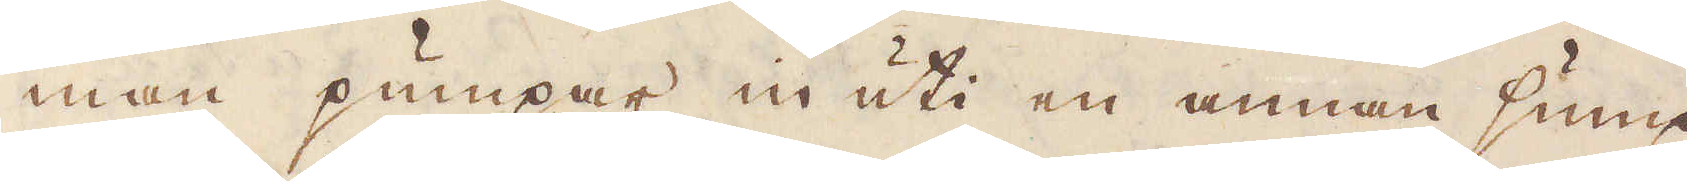man pumpar in uti en annan sump,
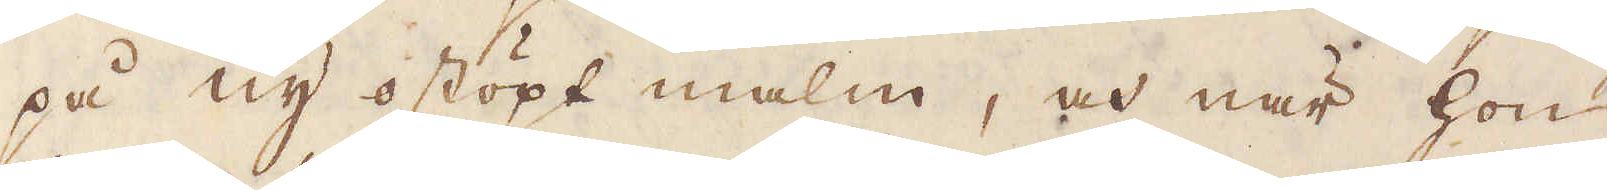på ny ostöpt malm, och när hon
